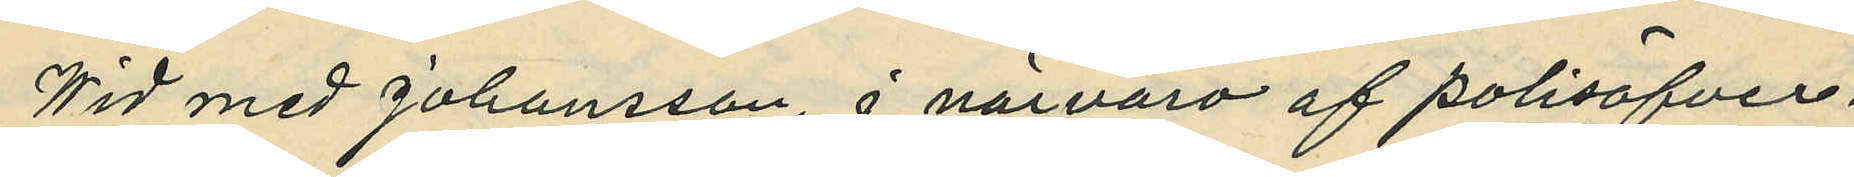Vid med Johansson, i närvaro av polisöfver¬
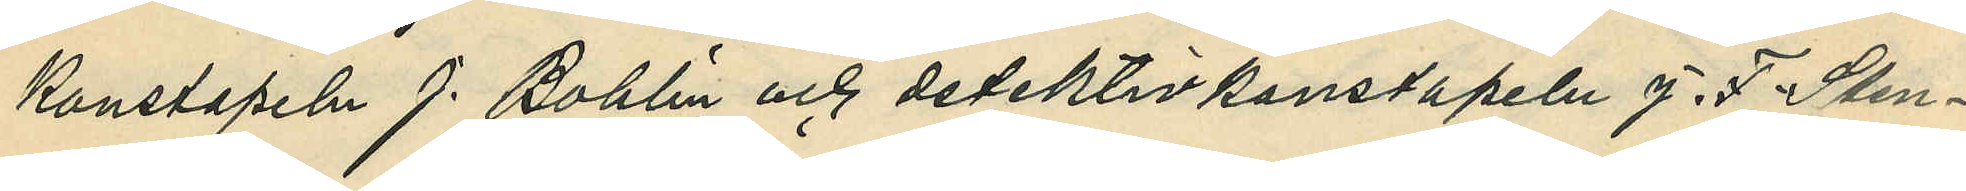konstapeln J. Bohlin och detektivkonstapeln J.F. Sten¬
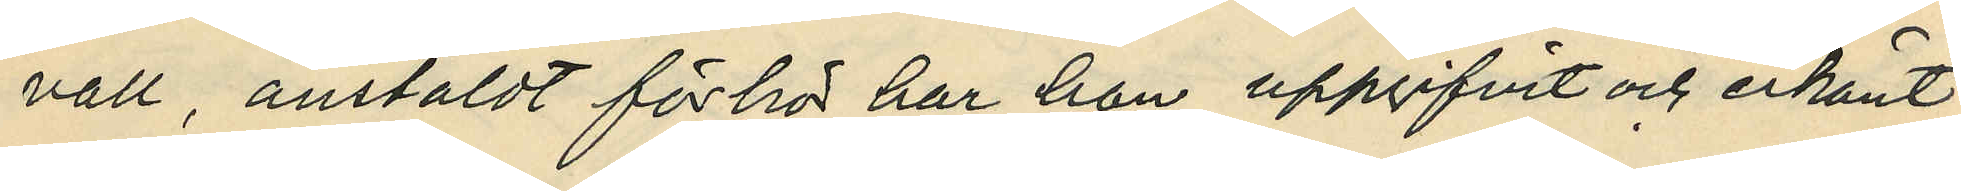vall, anställt förhör har han uppgifvit och erkänt:
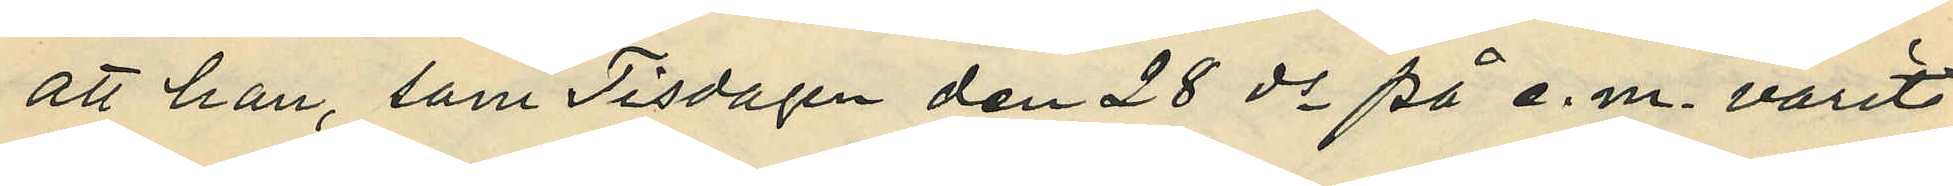att han, som Tisdagen den 28 ds på e. m. varit
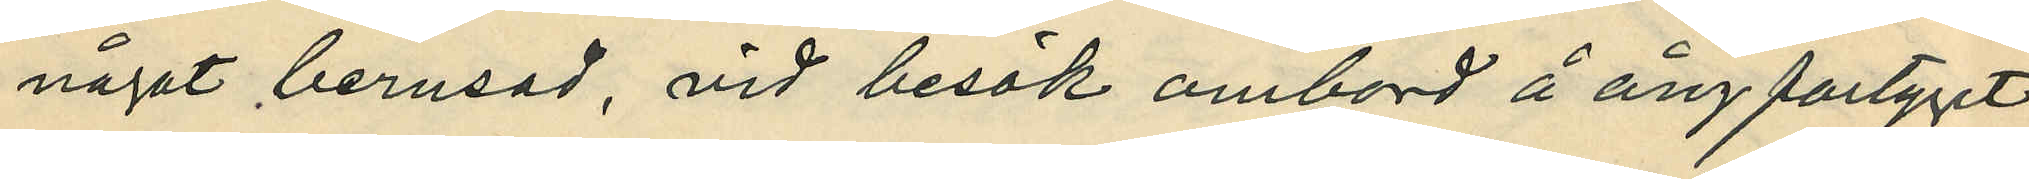något berusad, vid besök ombord å ångfartyget
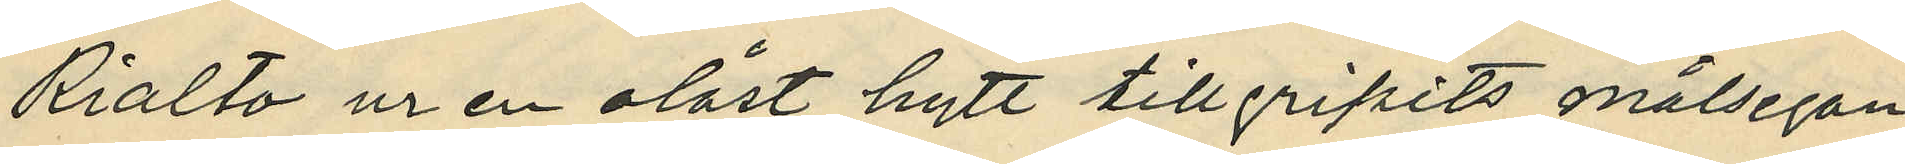Rialto ur en olåst hytt tillgripits målsegan¬
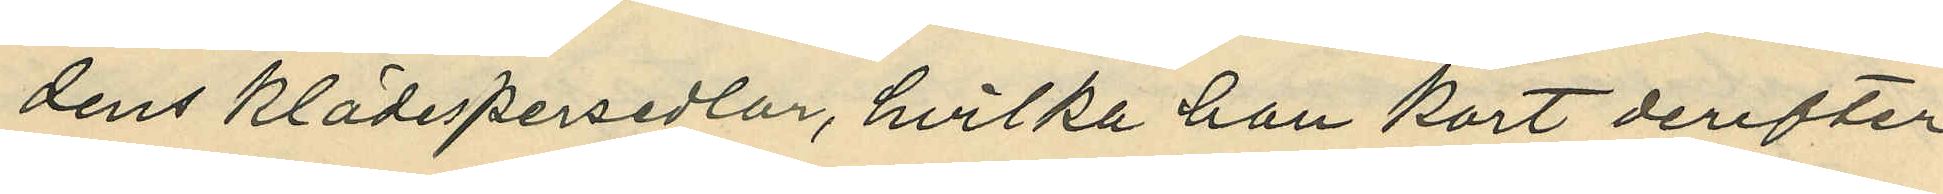dens klädespersedlar, hvilka han kort derefter
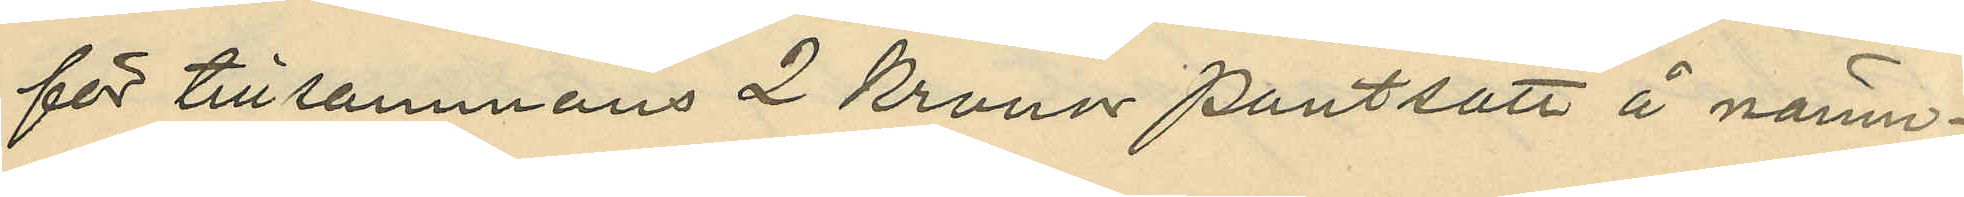för tillsammans 2 Kronor pantsatt å nämn¬
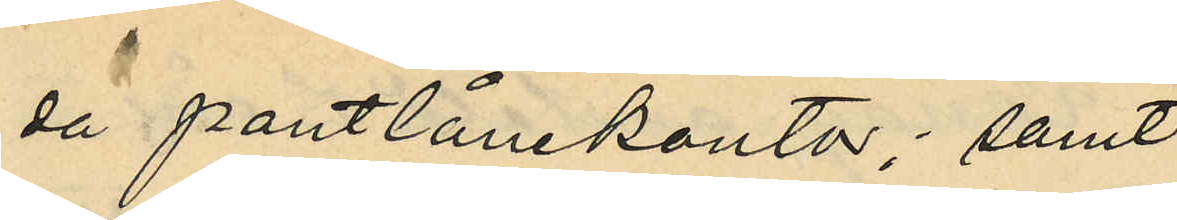da pantlånekontor; samt
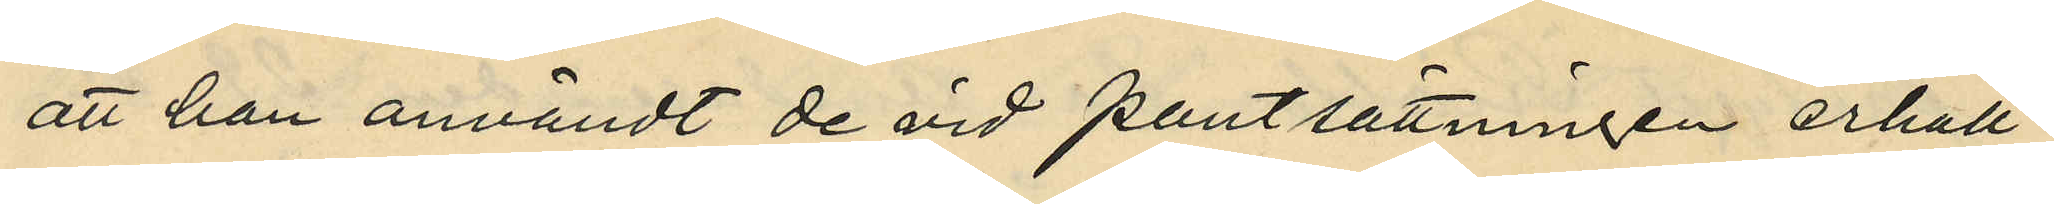att han användt de vid pantlsättningen erhåll¬
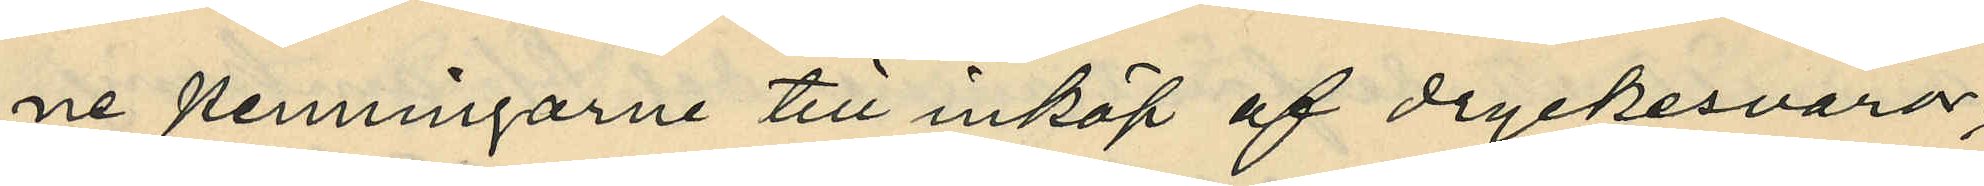ne penningarne till inköp af dryckesvaror,
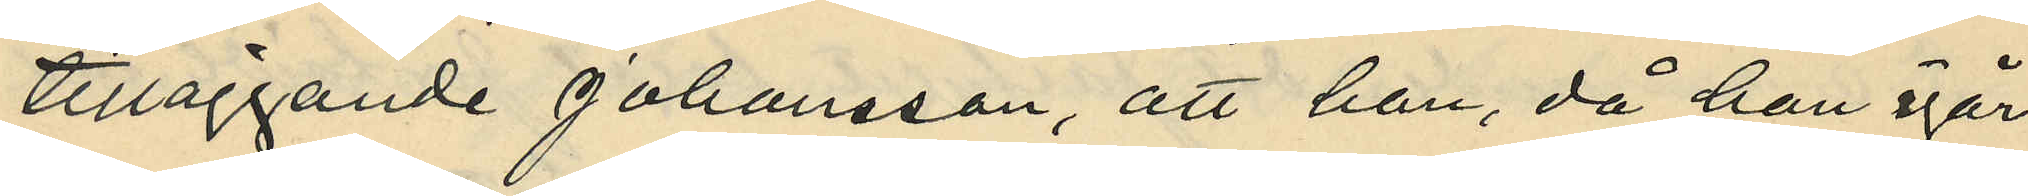tilläggande Johansson, att han, då han igår
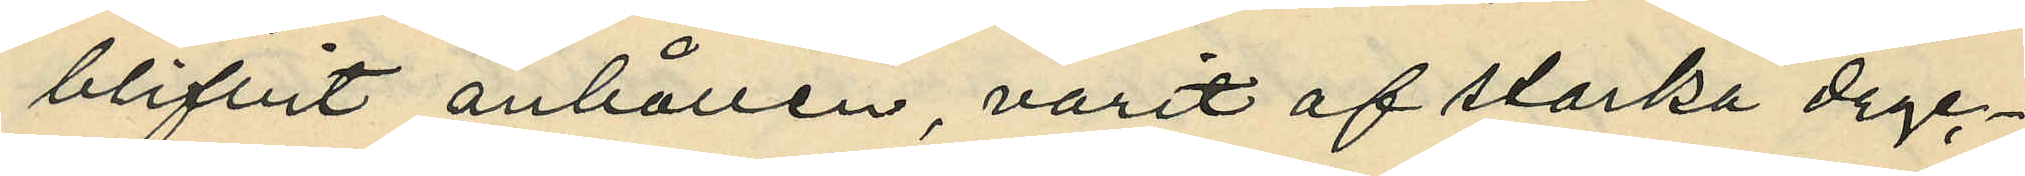blifvit anhållen, varit af starka dryc¬
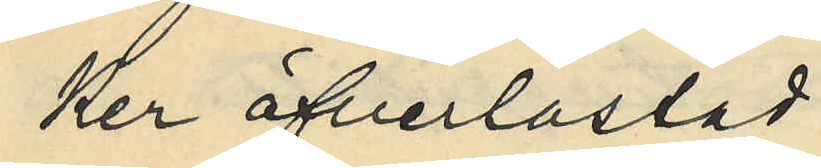ker öfverlastad.
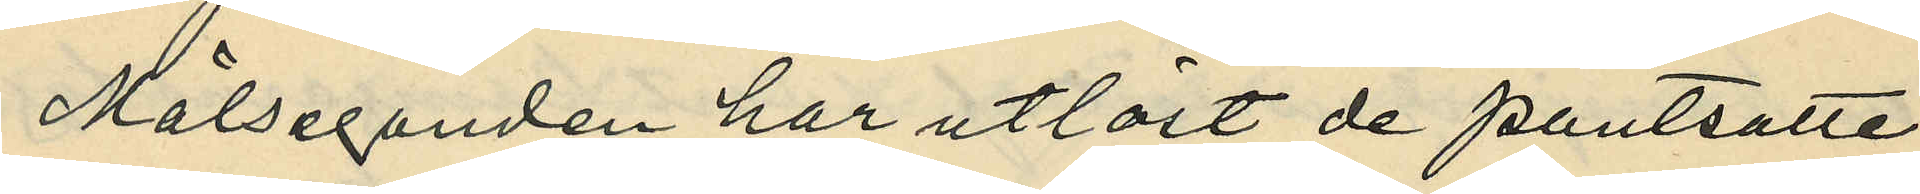Målseganden har utlöst de pantsatta
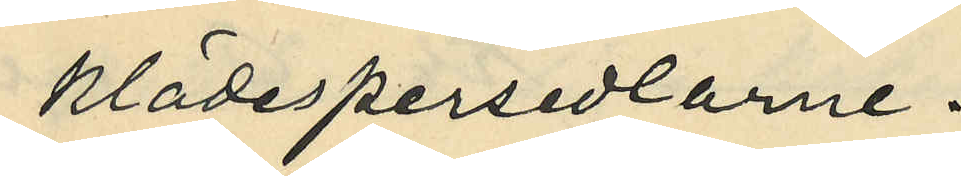klädespersedlarne.
